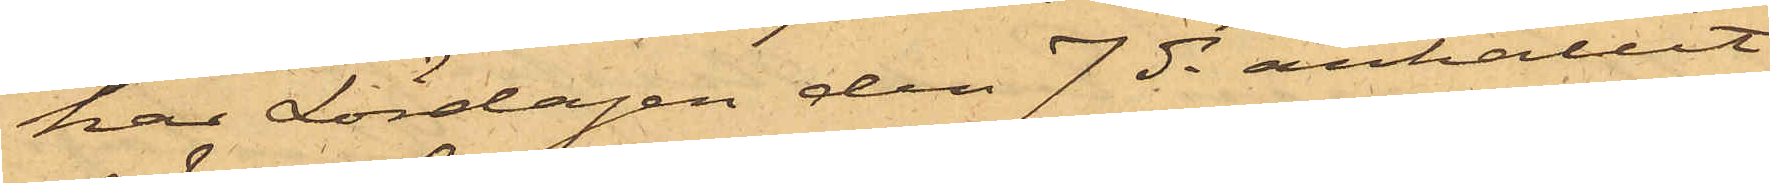har Lördagen den 7 ds anhållit
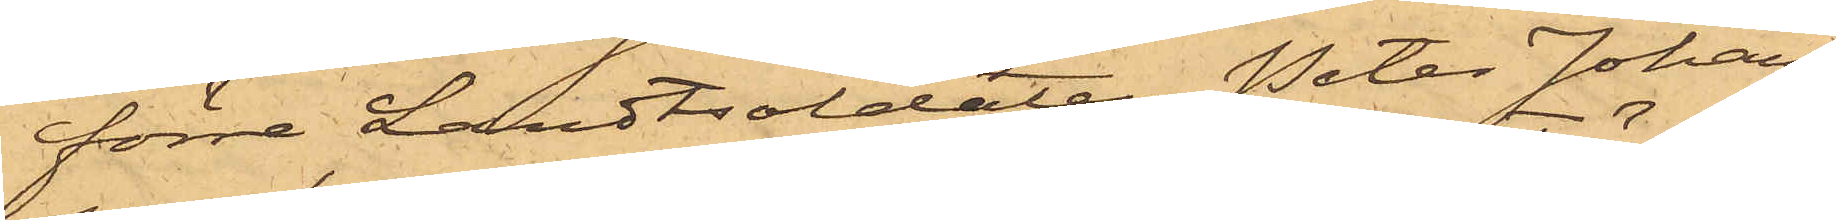förra Landtsoldaten Peter Johans¬
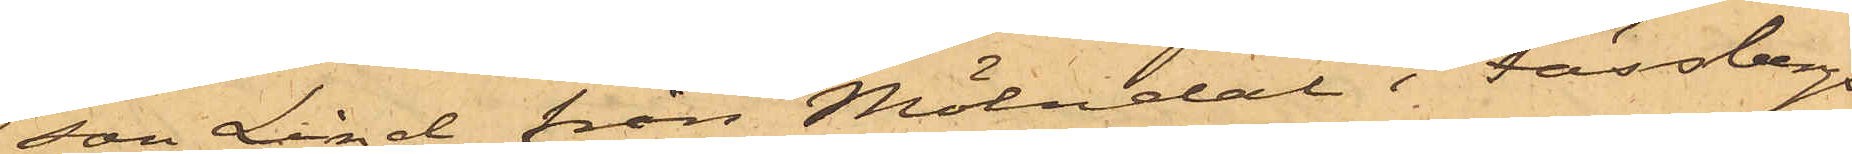son Lind från Mölndal i Fässbergs
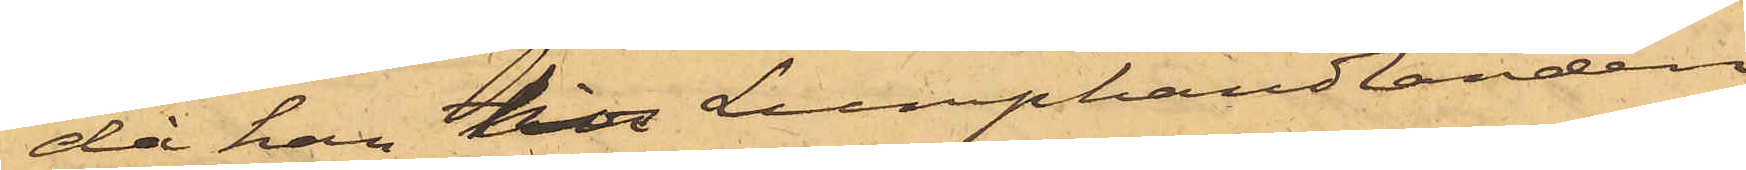då han till Lumphandlanden
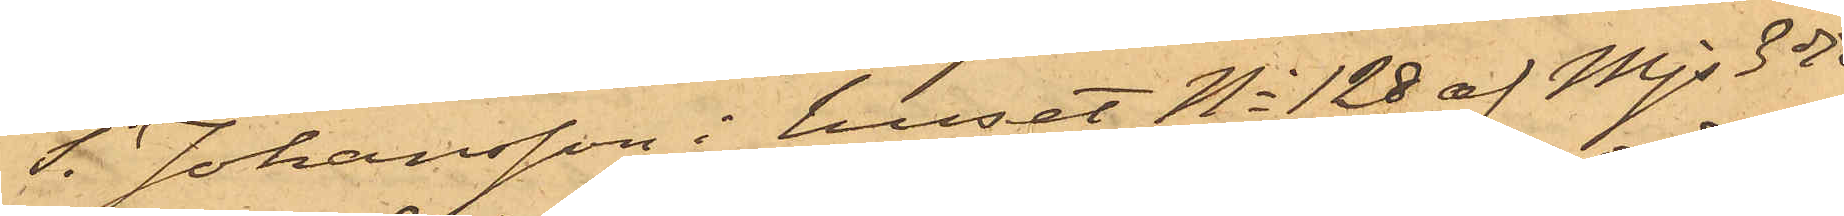T. Johansson i huset No 128 af Mjs 3dje
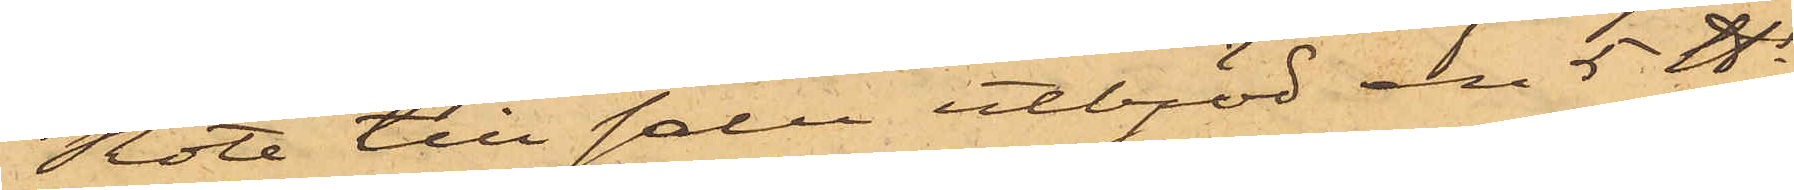Rote till salu utbjöd en 5 ℔s
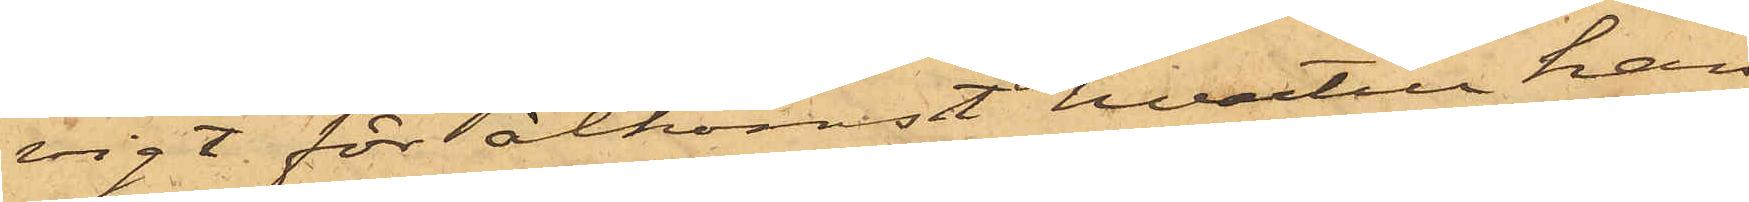vigt för åtkomst hvartill han
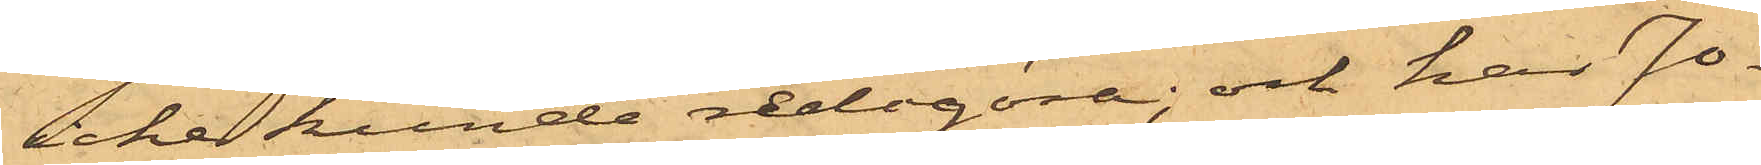icke kunde redogöra; och har Jo¬
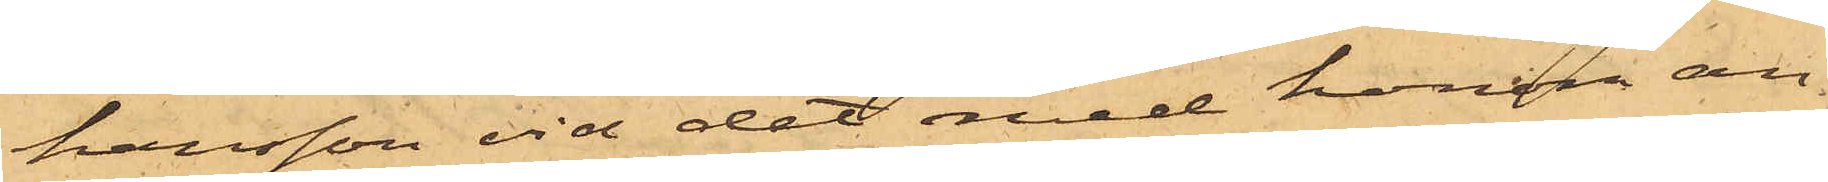hansson vid det med honom an¬
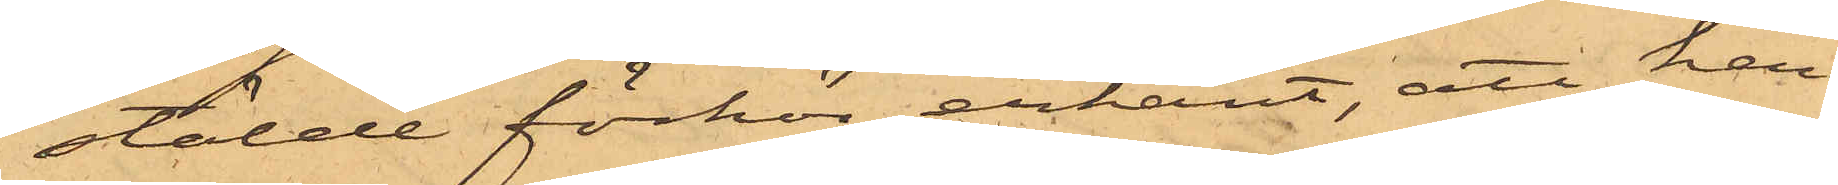stälde förhör erkänt, att han
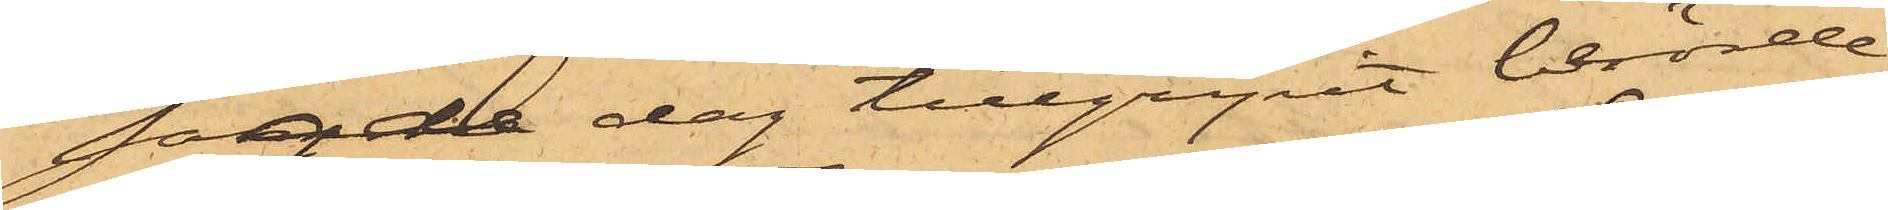sagde dag tillgripit berörde
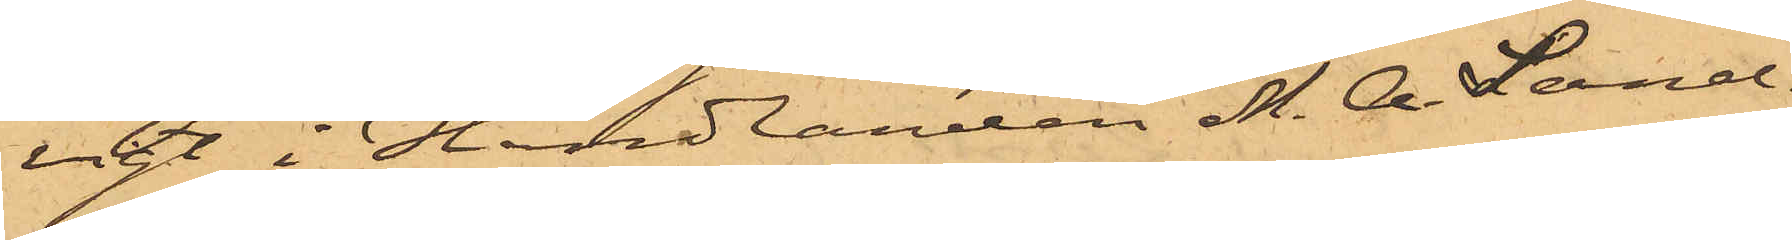vigt i Handlanden M. A. Sand¬
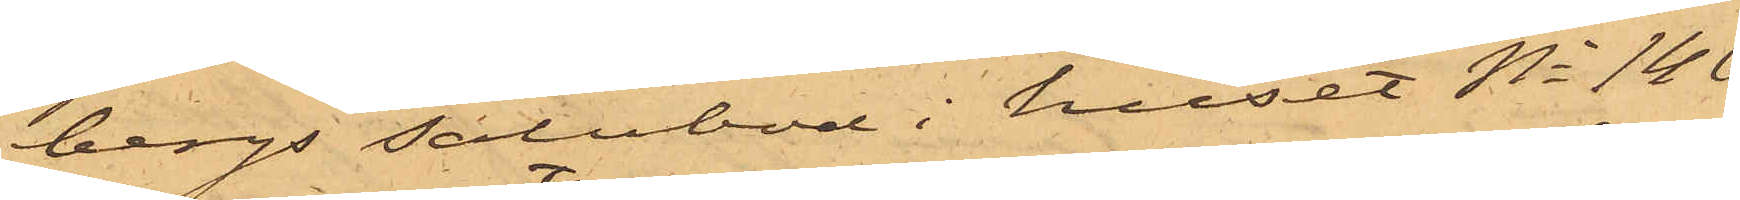bergs Salubod i huset No 146
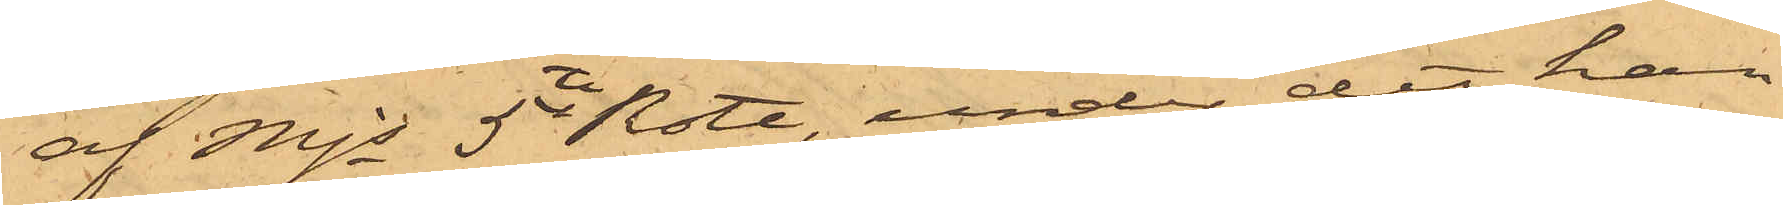af Mjs 5te Rote, under det han
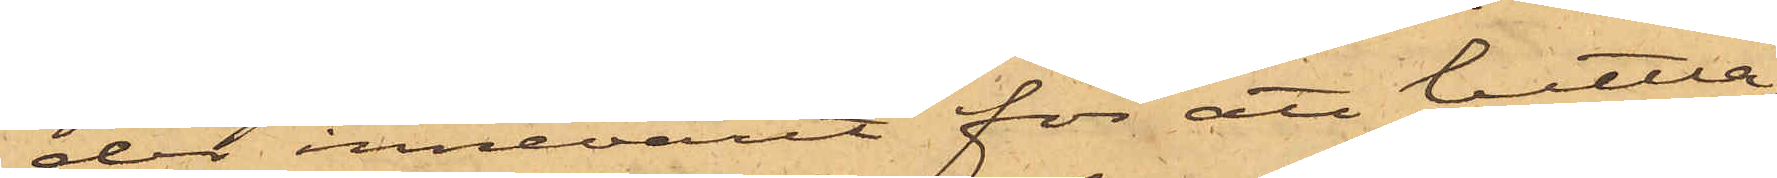der innevarit för att bettla;
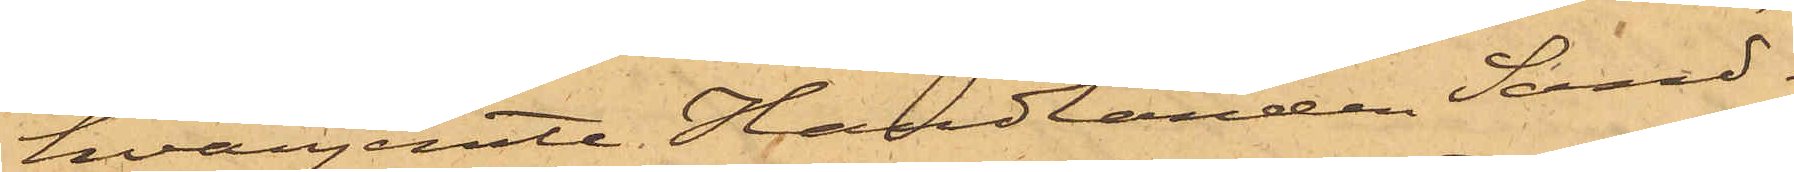hvarjemte Handlanden Sand¬
